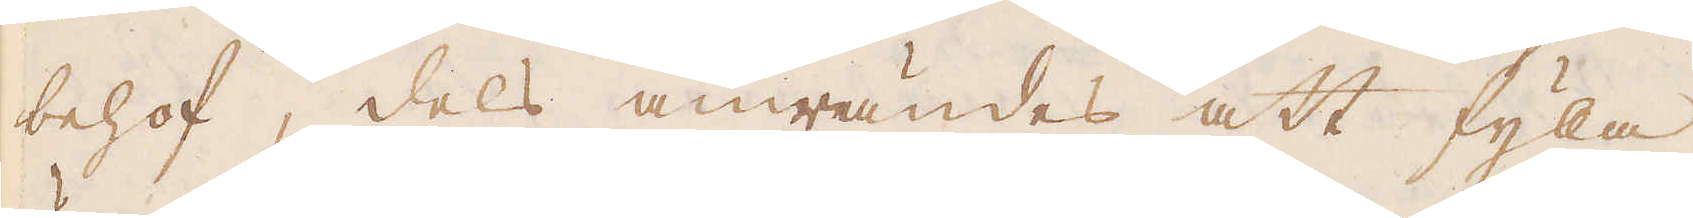behof, dels anwändes att fyla
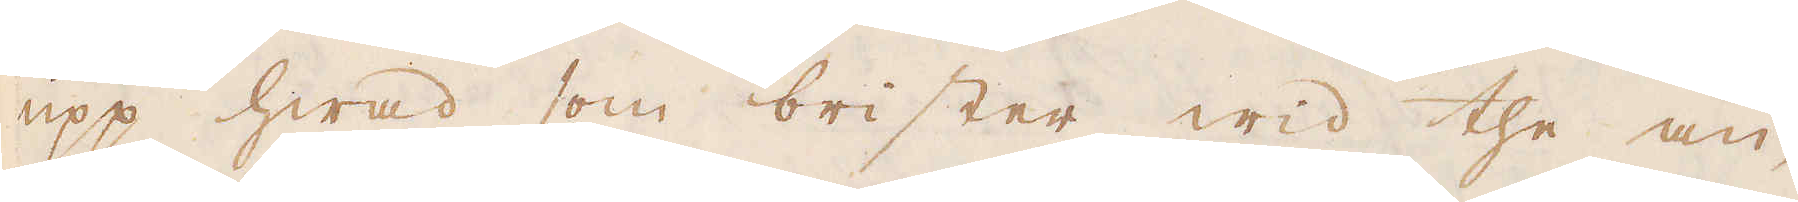upp hwad som brister wid the an-
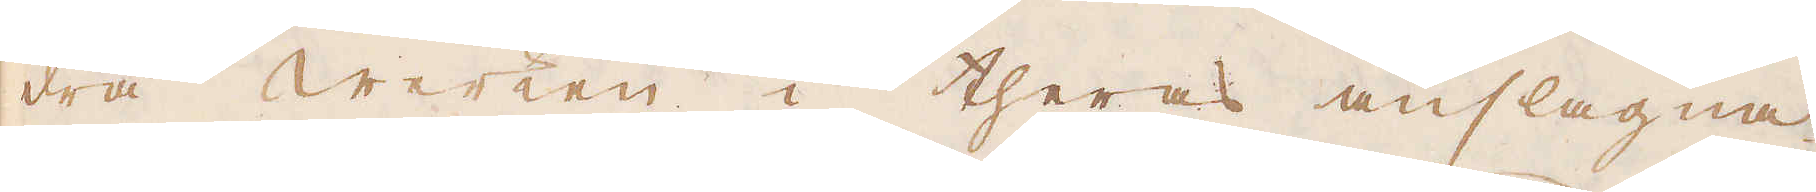dra werken i theras anslagna
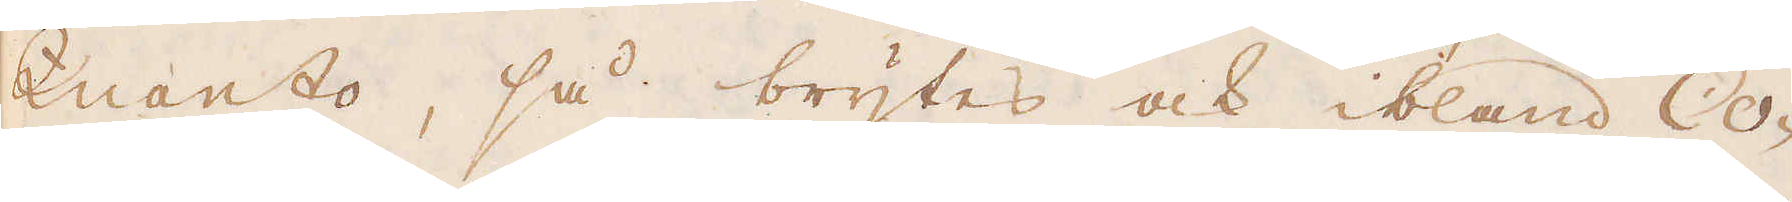Quanto, så brytes ock ibland Co-
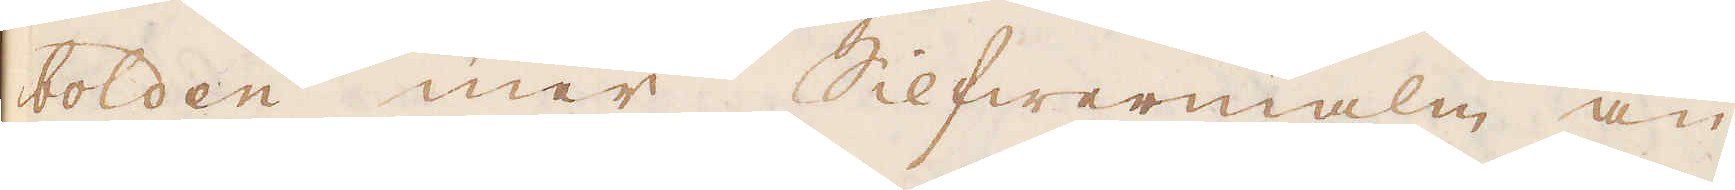bolden mer Silfwermalm än
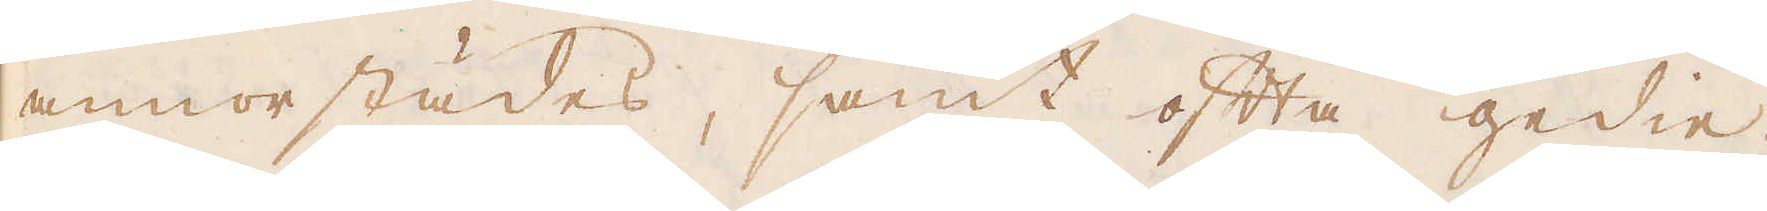annorstädes, samt ofta gedie-
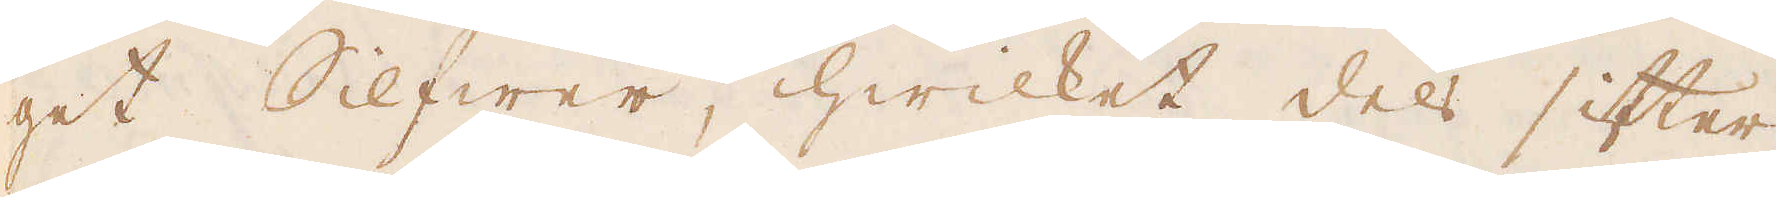get Silfwer, hwilket dels sitter
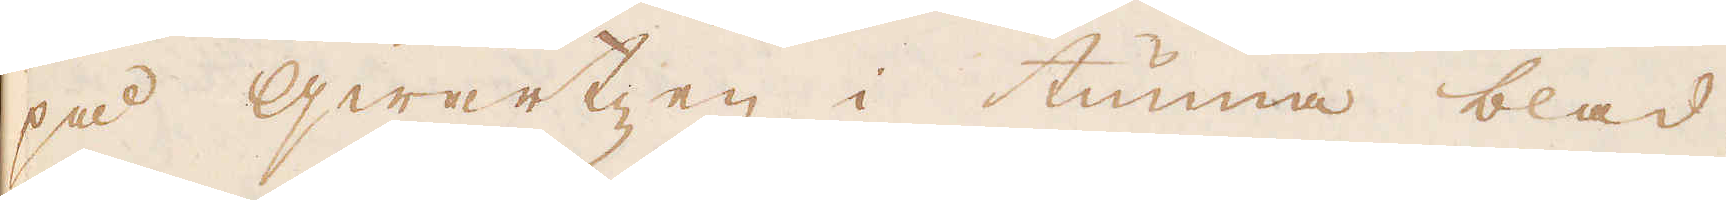på qwartzen i tunna blad
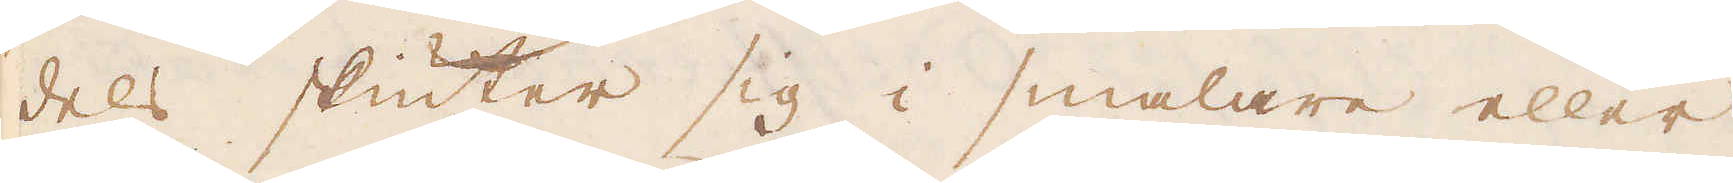dels skiuter sig i smalare eller
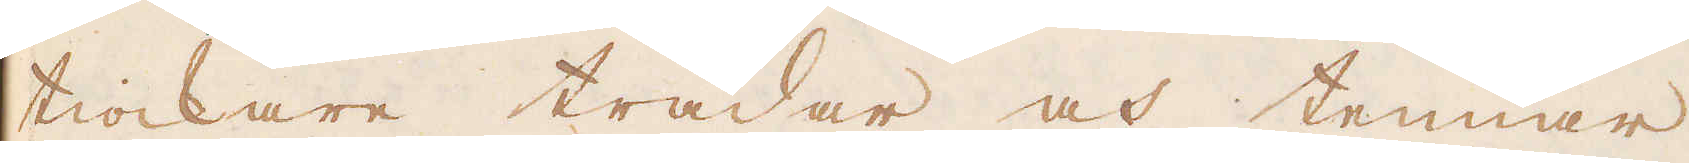tiockare trådar och tennar
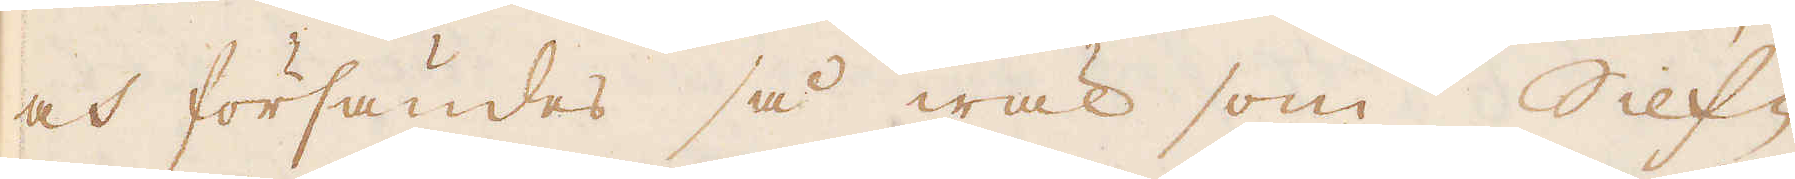och försändes så wäl som Silf-
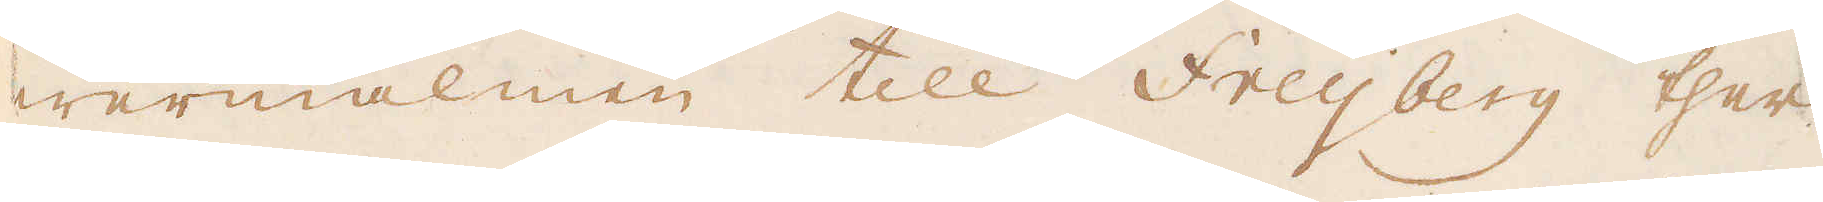wermalmen till Freijberg ther
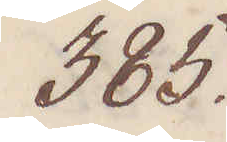385.
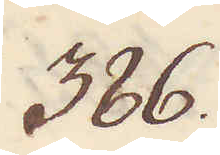386.
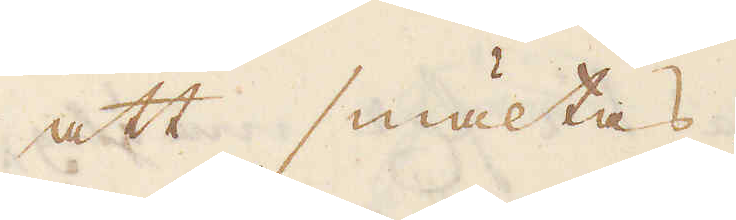att smältas.
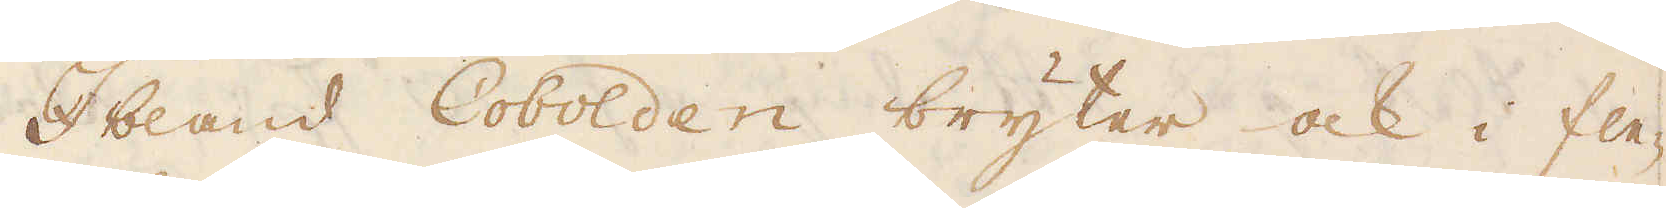Ibland Cobolden bryter ock i fle-
